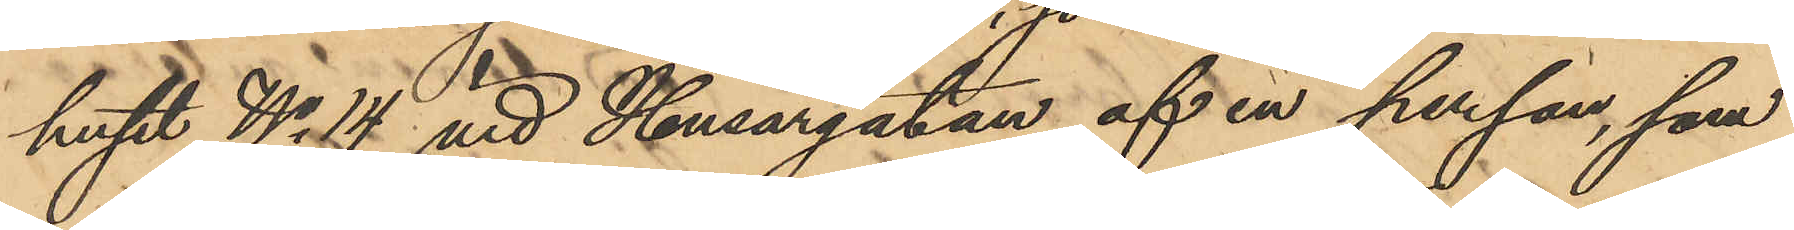huset No 14 vid Husargatan af en person, som
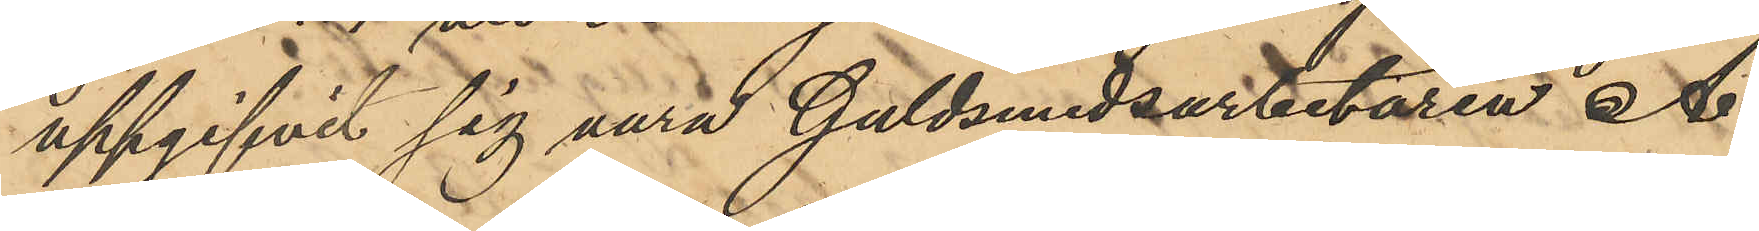uppgifvit sig vara Guldsmedsarbetaren A.
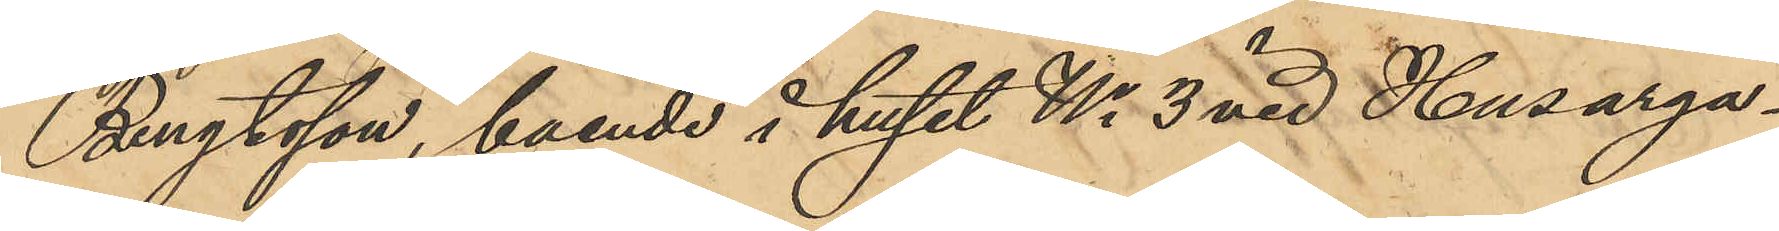Bengtsson, boende i huset No 3 vid Husarga¬
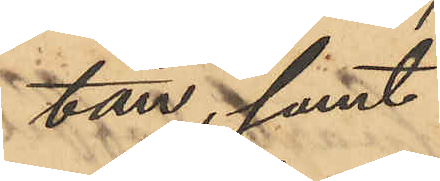tan; samt
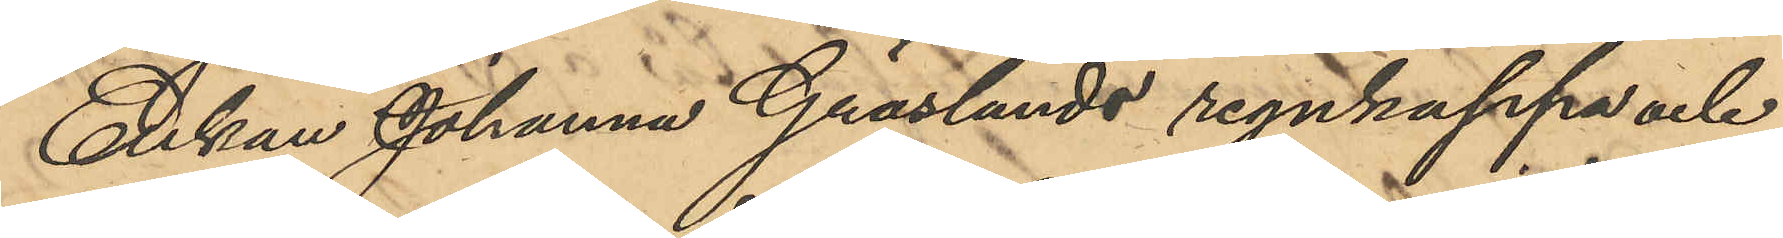Enkan Johanna Gräslunds regnkappa och
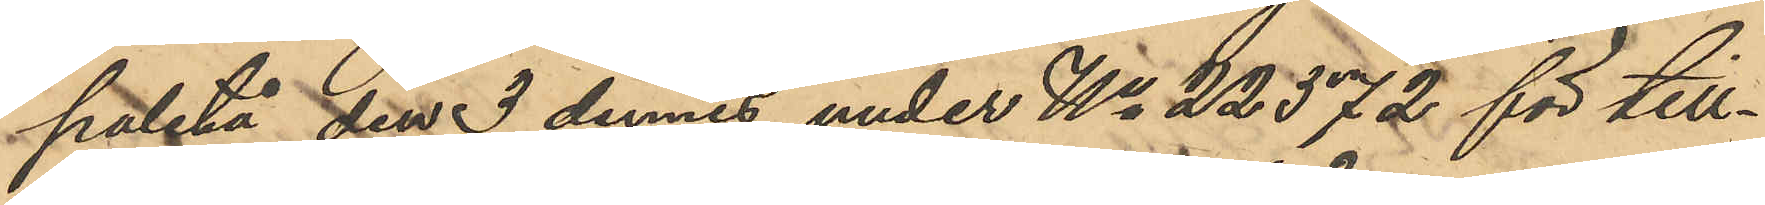paletå den 3 dennes under No 22572 för till¬
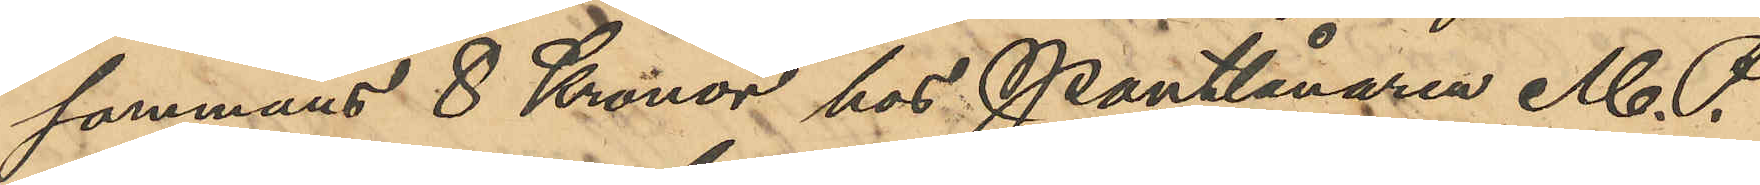sammans 8 Kronor hos Pantlånaren M. P.
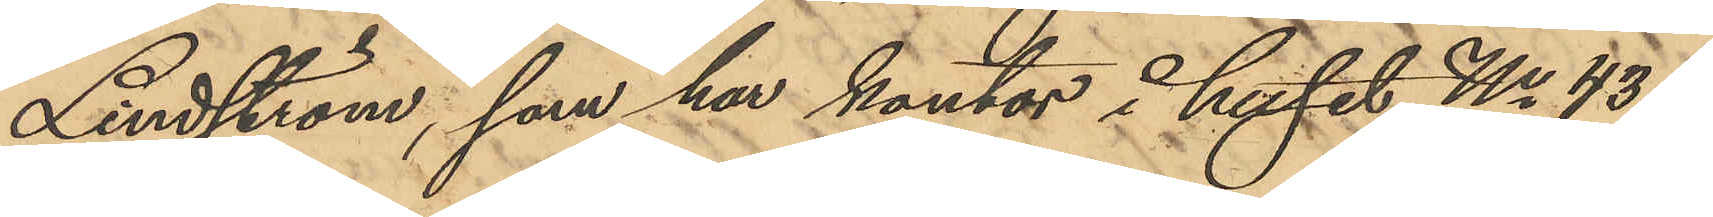Lindström, som har kontor i huset No 43 i
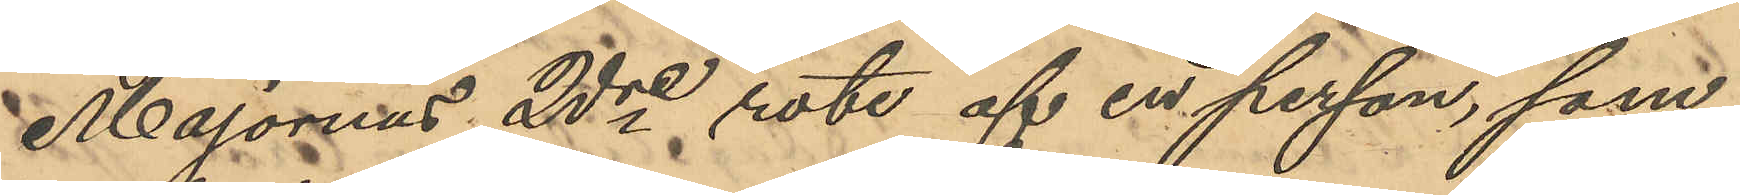Majornas 2dre rote af en person, som
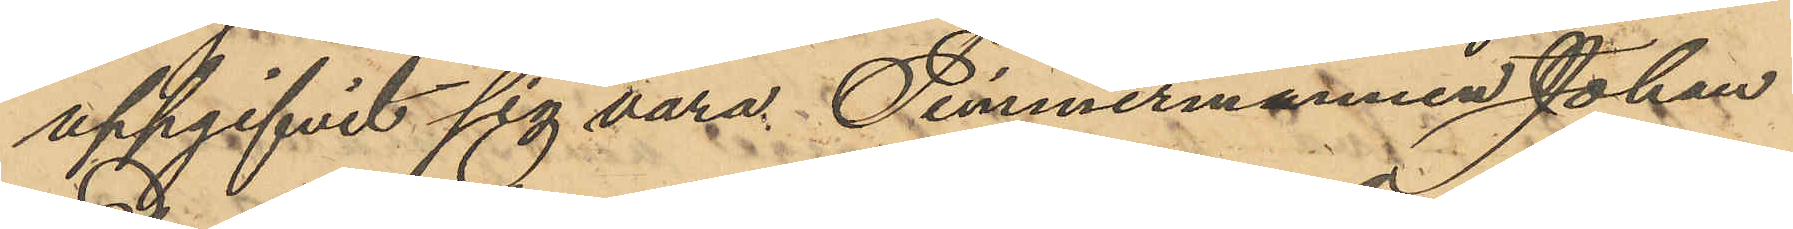uppgifvit sig vara Timmermannen Johan
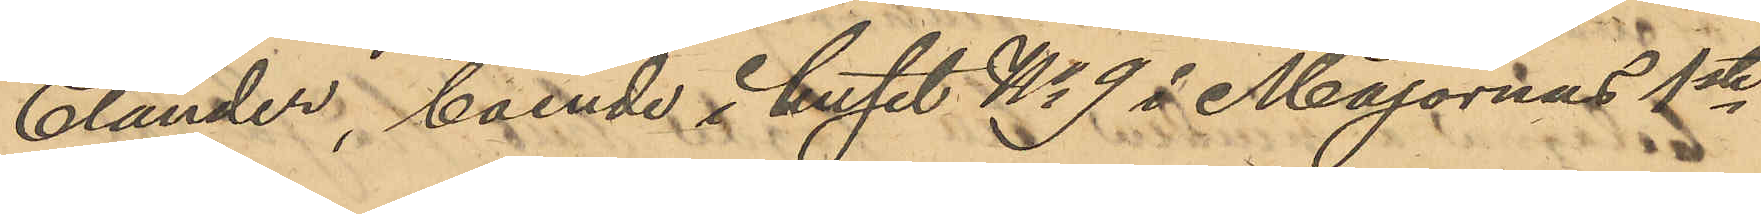Elander, boende i huset No 9 i Majornas 1ste
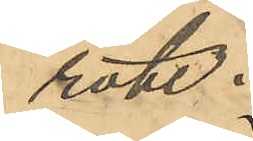rote;
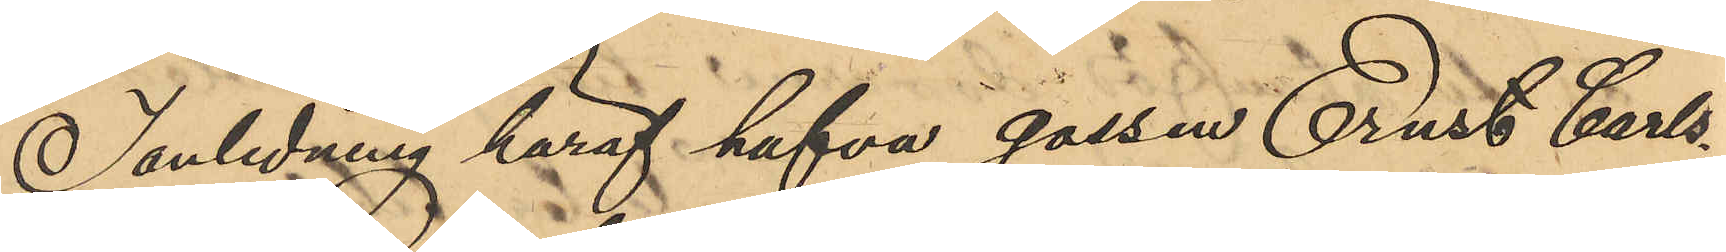I anledning häraf hafva gossen Ernst Carls¬
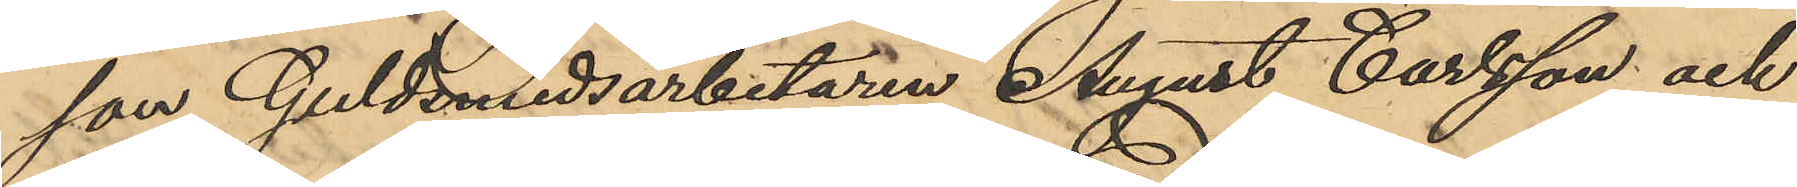son, Guldsmedsarbetaren August Carlsson och
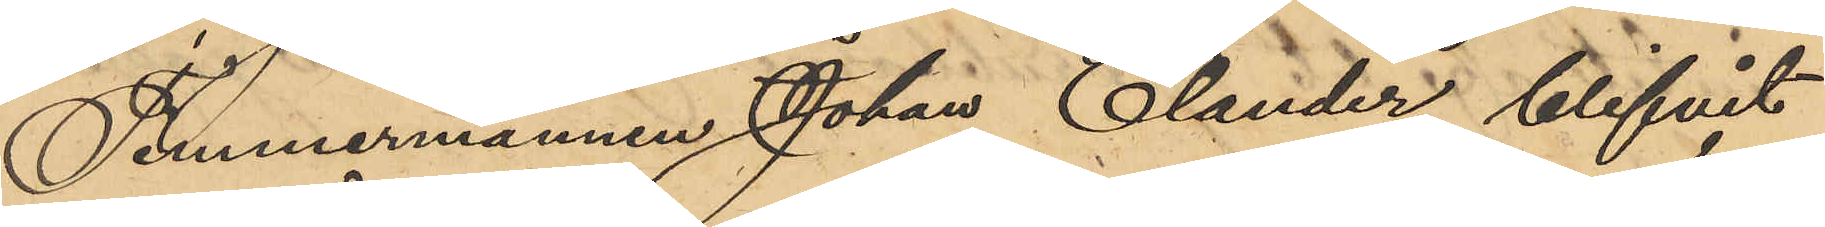Timmermannen Johan Elander blifvit
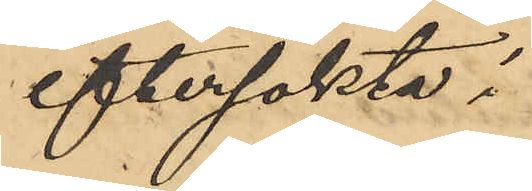eftersökta i 
